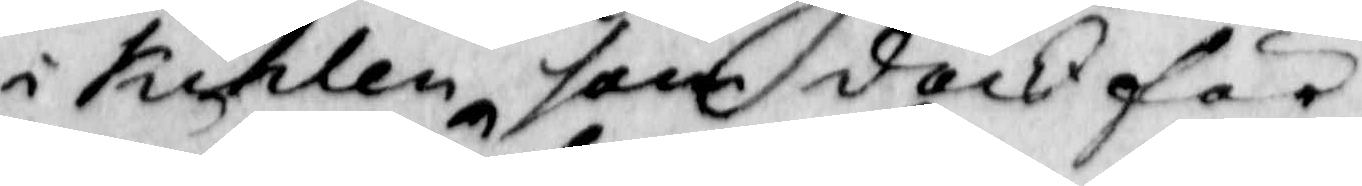i kihlen som dock för
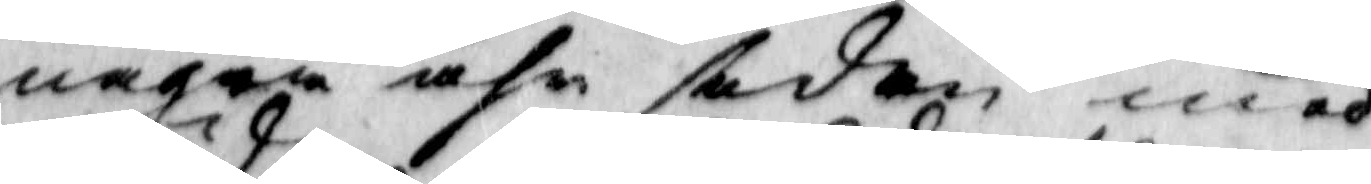några åhr sedan med
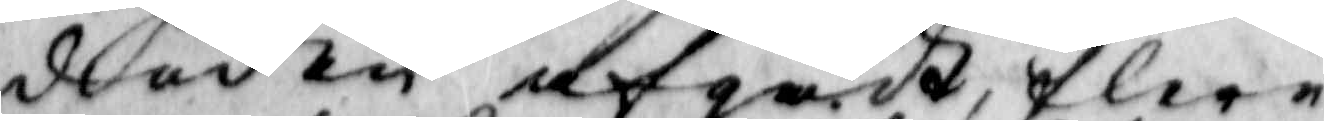döden afgådt, flere
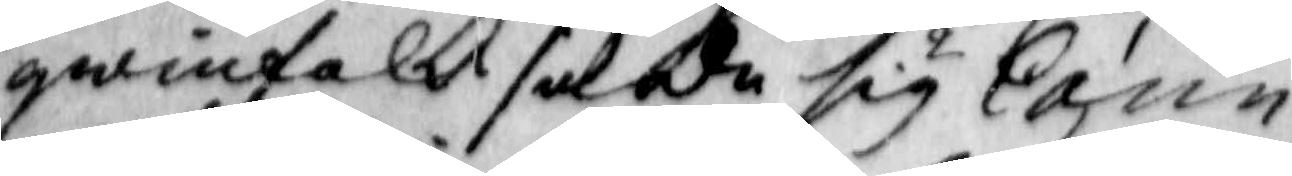qwinfolk sade sig Carin
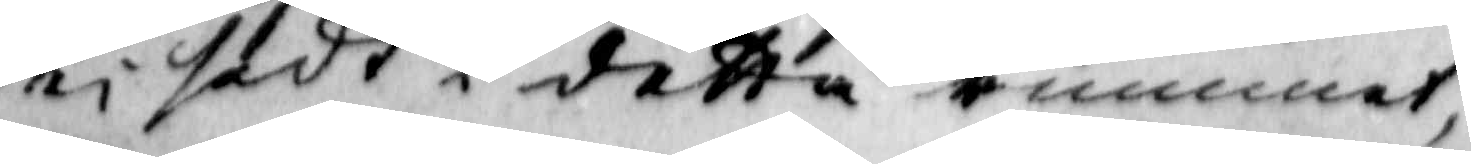ei sedt i detta rummet,
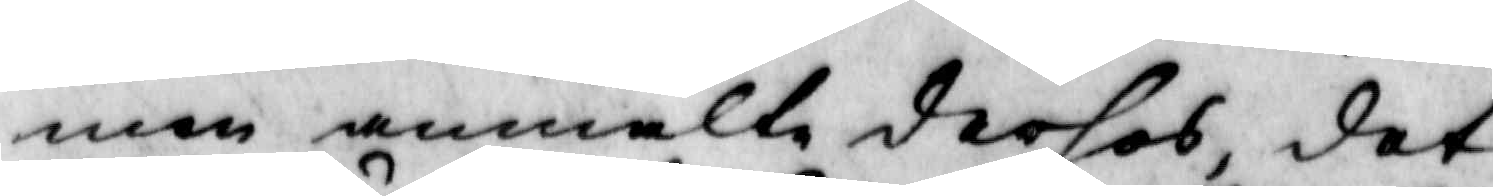men anmälte derhos, det
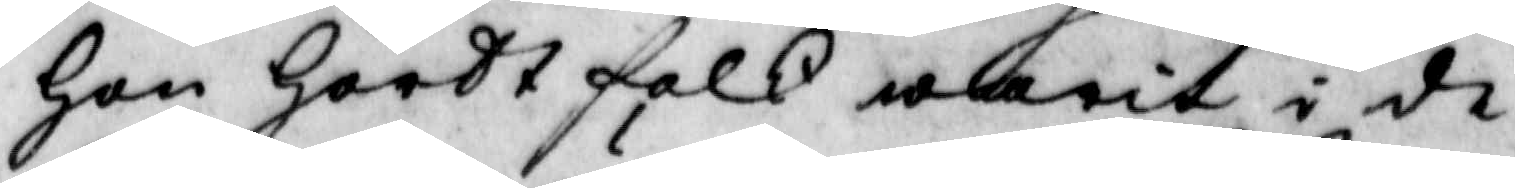Hon Hördt folk warit i de
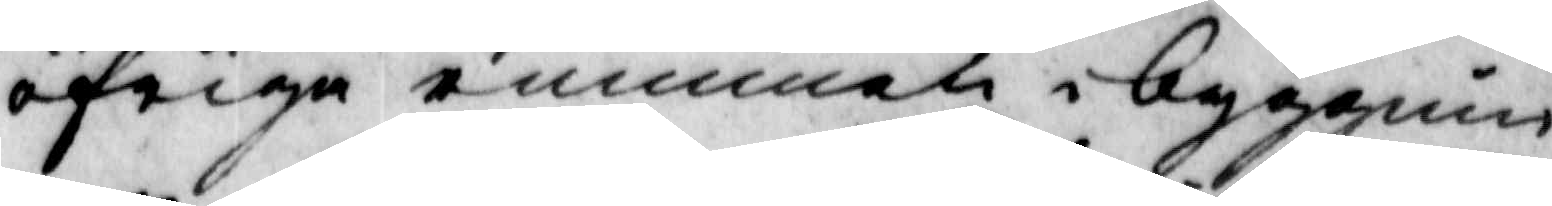öfriga rummen i byggnin¬
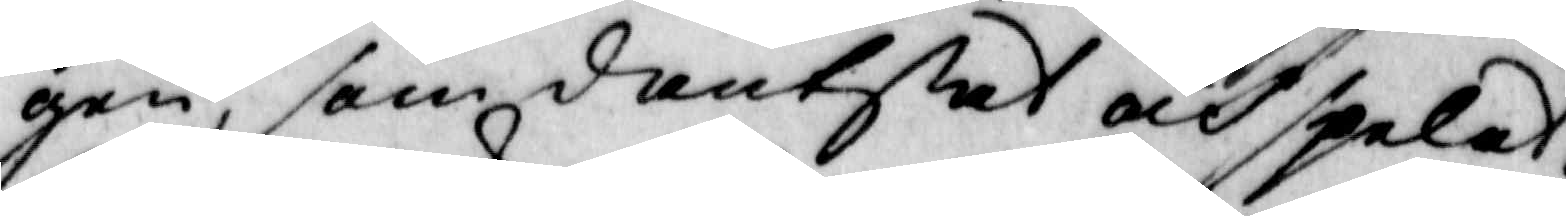gen, som dantsat och spelat.
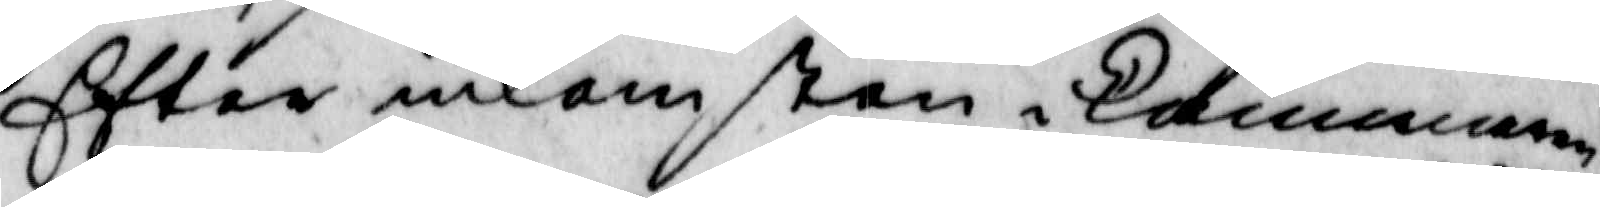Eftter inkomsten i kammaren
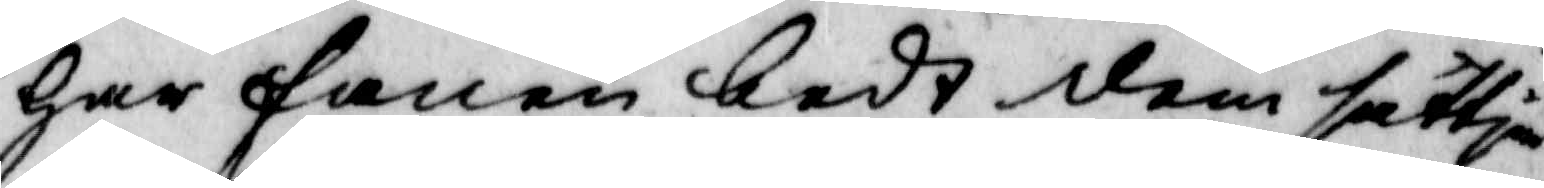har fanen bedt dem sättja
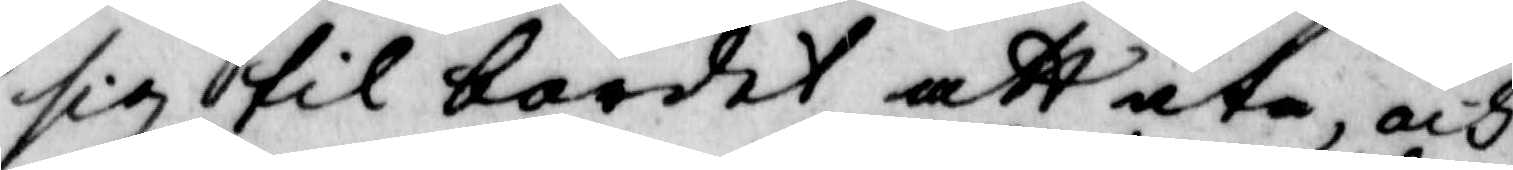sig til bordet att äta, och
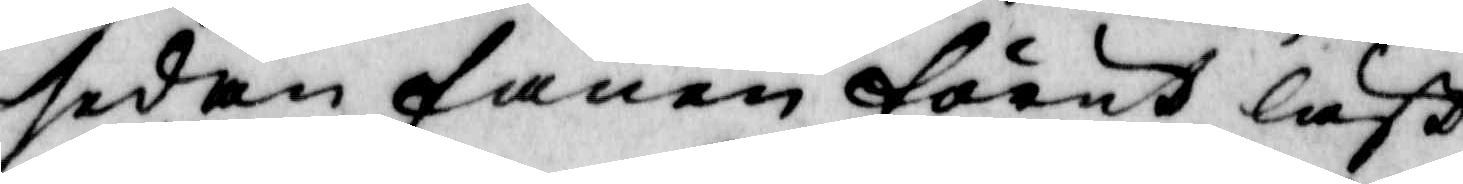sedan fanen förut läßt
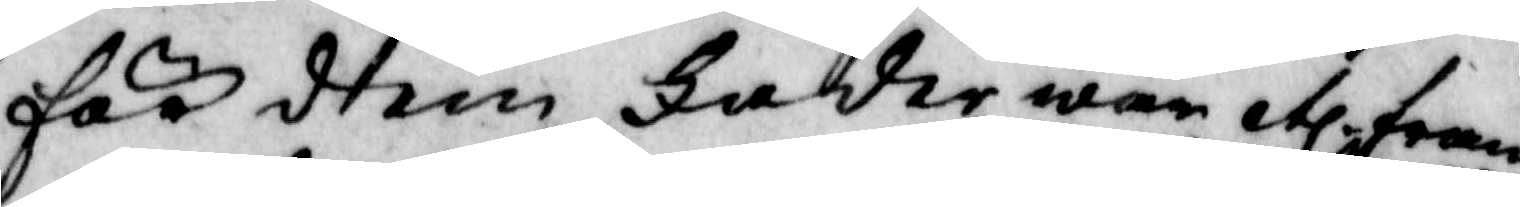för dem Fader wår etc fram 
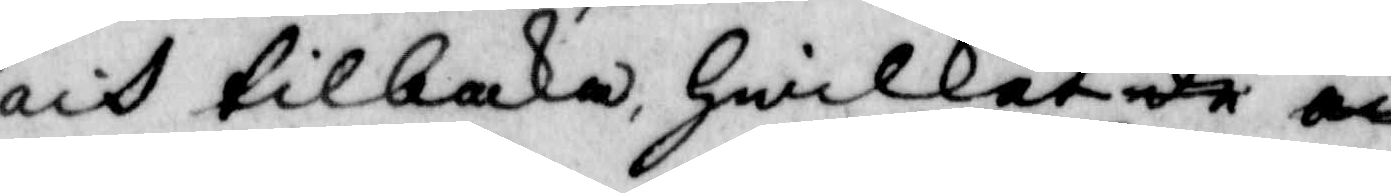och tilbaka, Hwilket de och
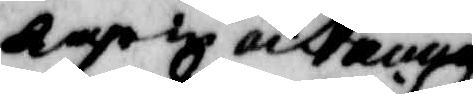karin och anna
